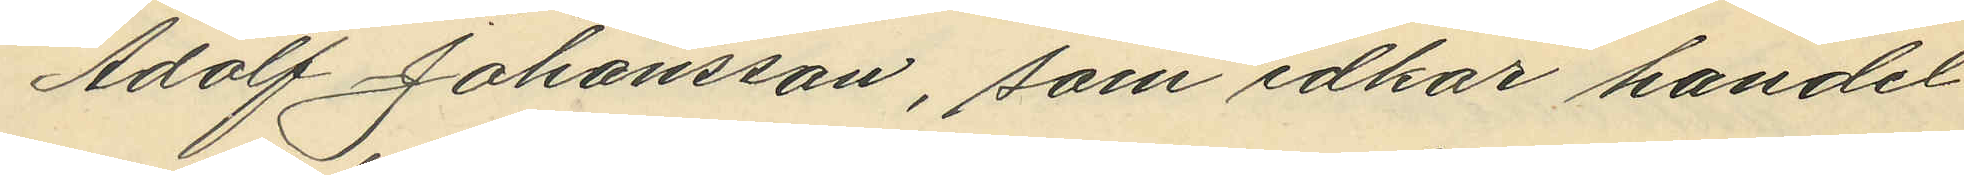Adolf Johansson, som idkar handel
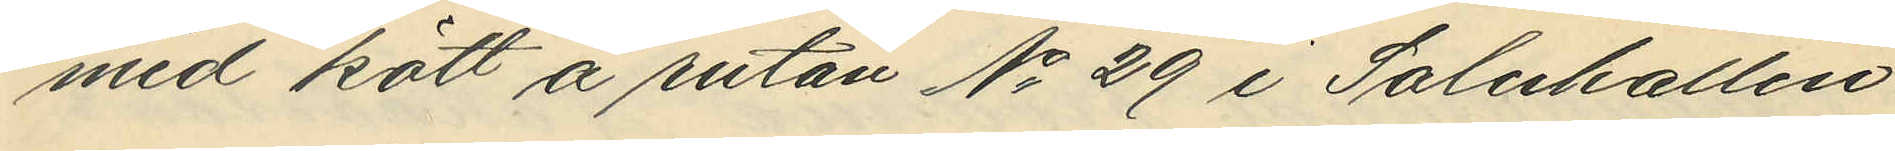med kött å rutan No 29 i Saluhallen
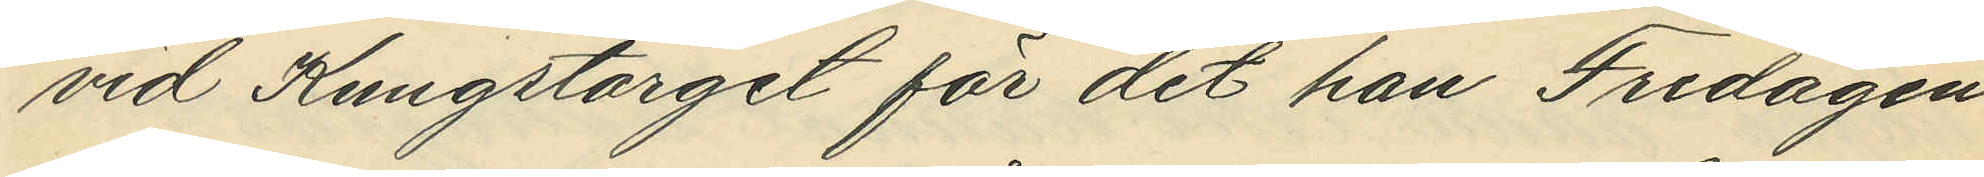vid Kungstorget för det han Fredagen
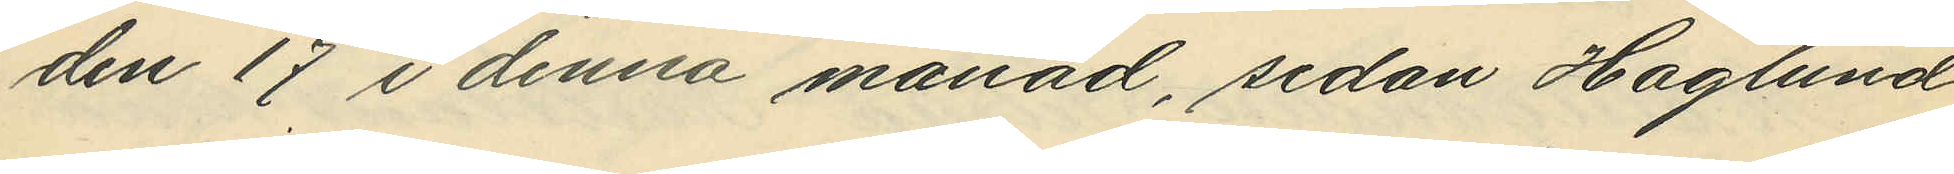den 17 i denna månad, sedan Haglund
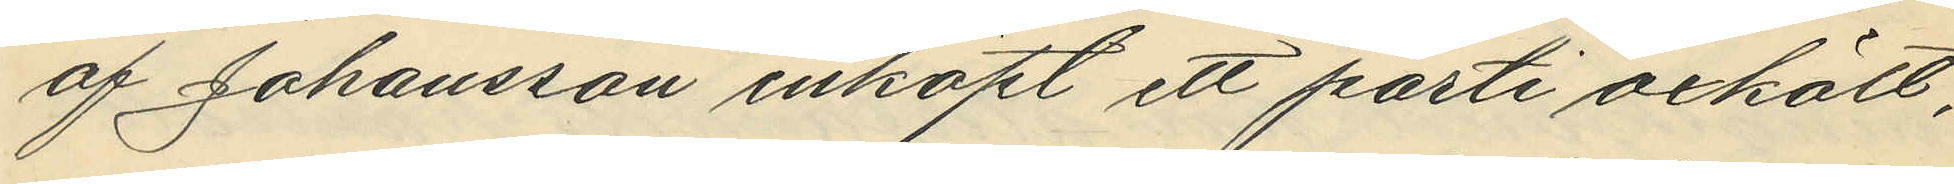af Johansson inköpt ett parti oxkött,
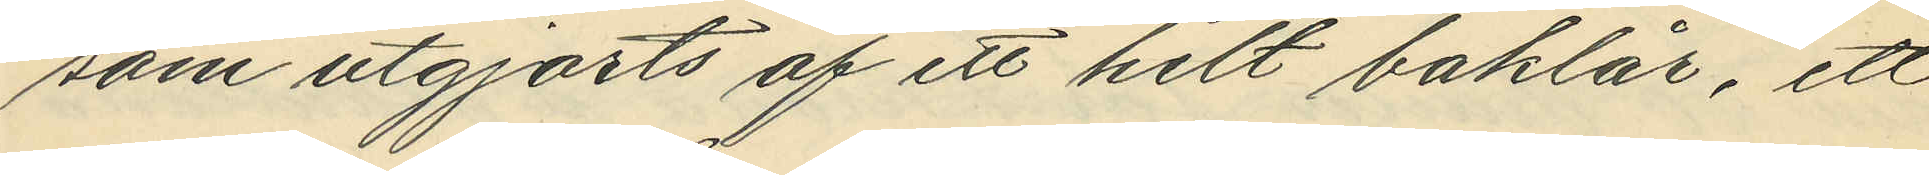som utgjorts af ett helt baklår, ett
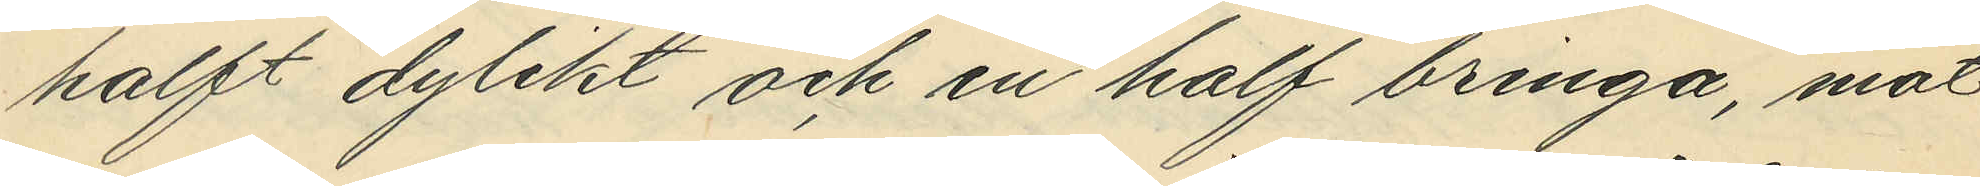halft dylikt och en half bringa, mot
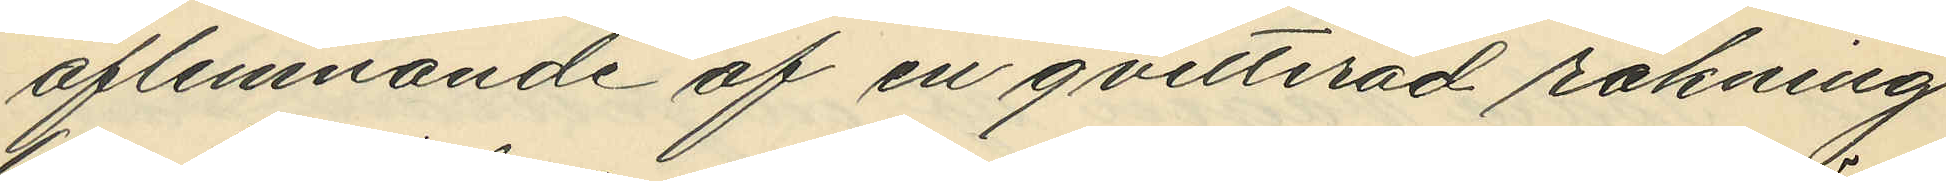aflemnande af en qvitterad räkning
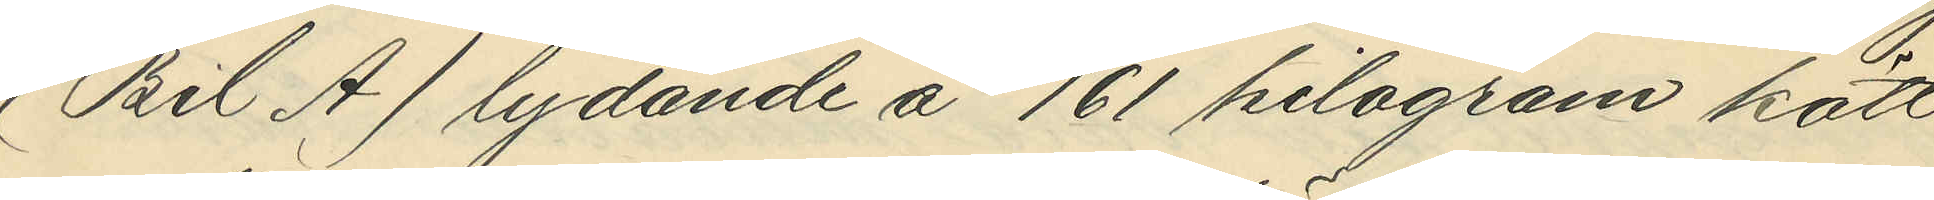(Bil A) lydande å 161 kilogram kött
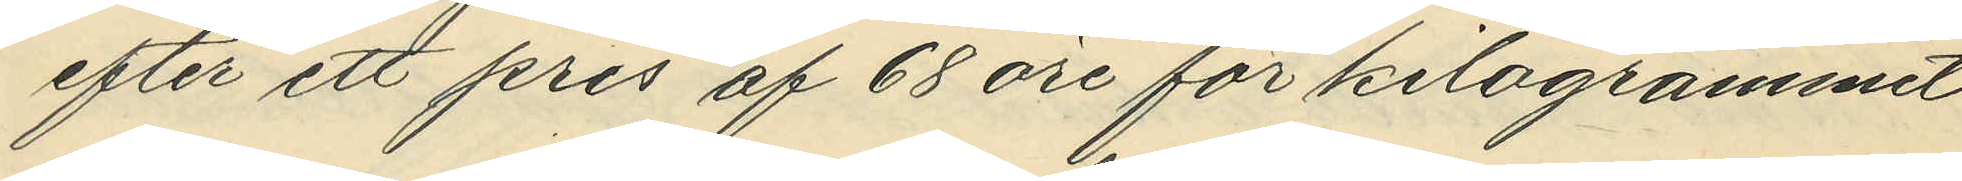efter ett pris af 68 öre för kilogrammet
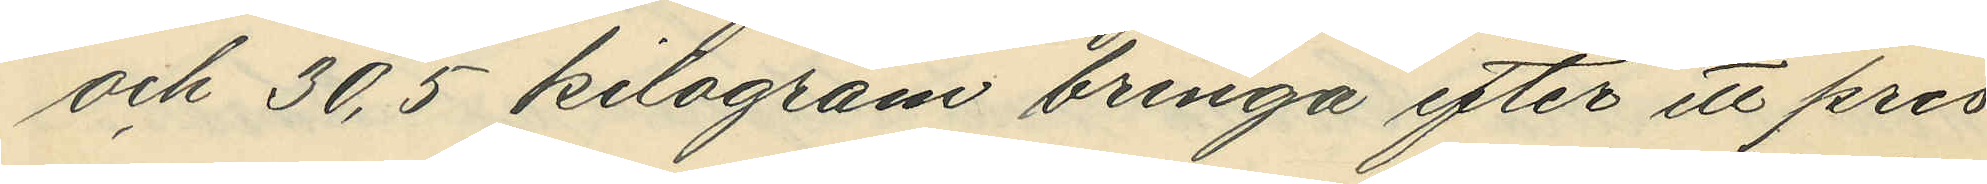och 30,5 kilogram bringa efter ett pris
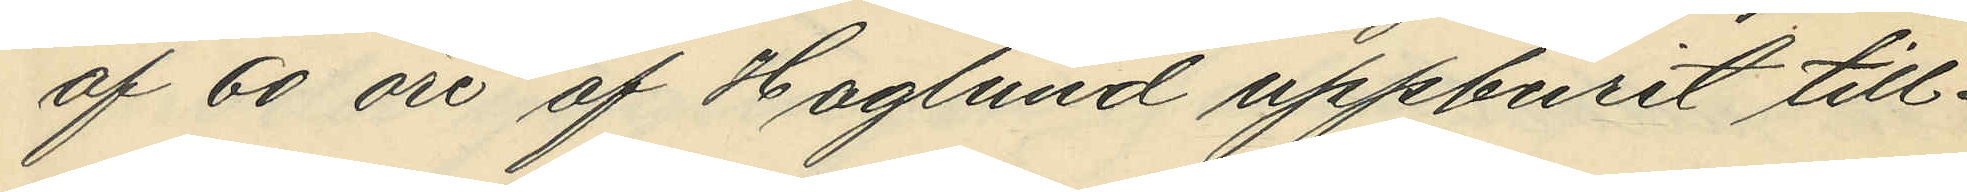af 60 öre af Haglund uppburit till¬
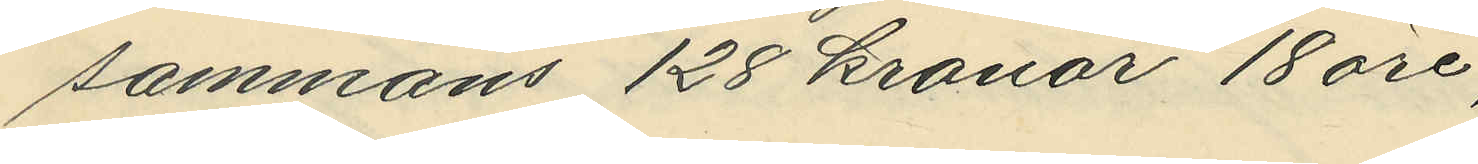sammans 128 kronor 18 öre,
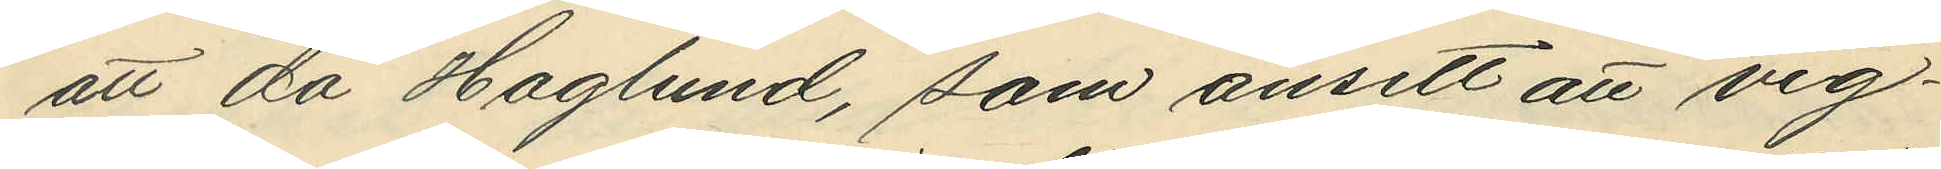att då Haglund, som ansett att vig¬
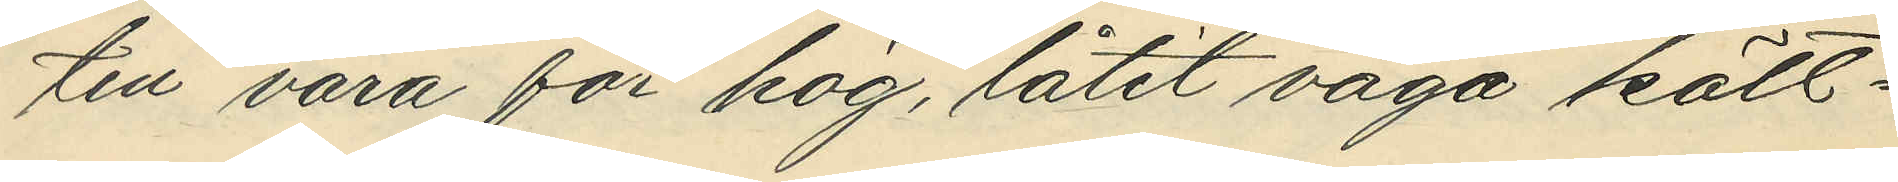ten vara för hög, låtit väga kött¬
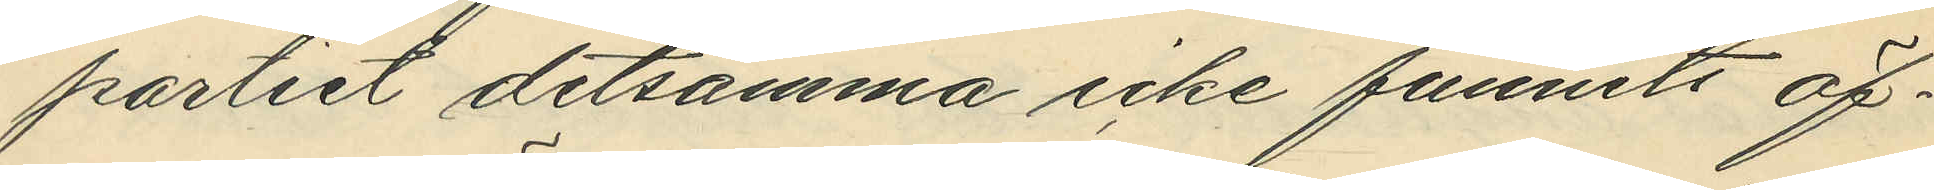partiet detsamma icke funnit öf¬
